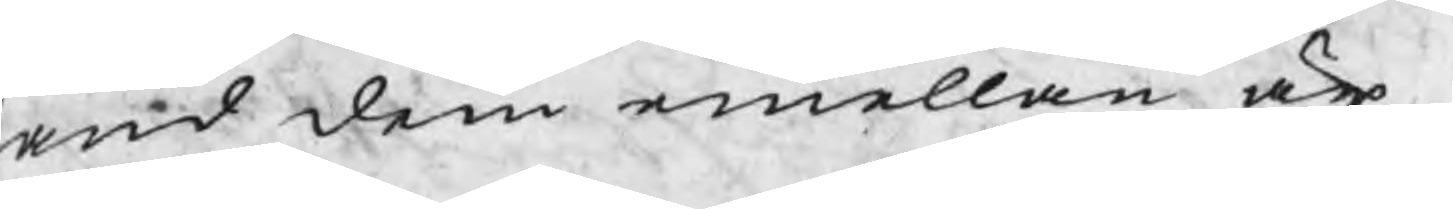and dem emellan är
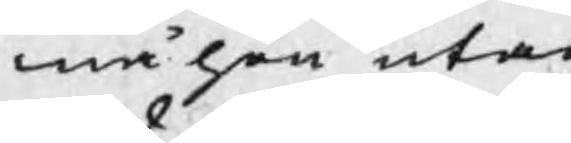må hon utan
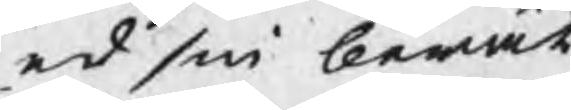ed sin berät¬
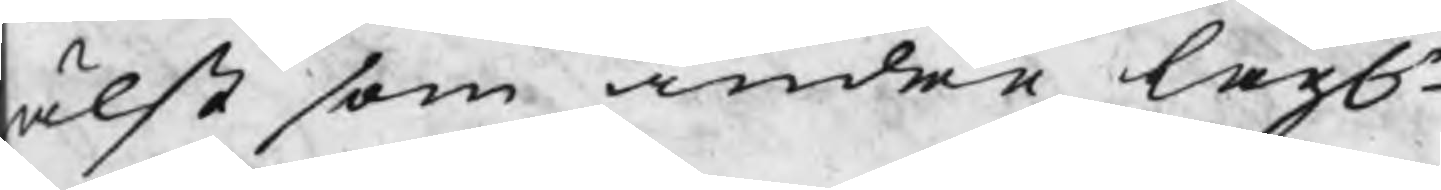älst som andra lagle
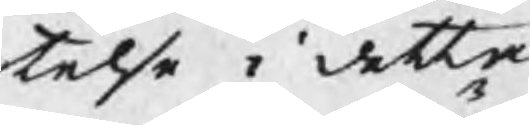telse i detta
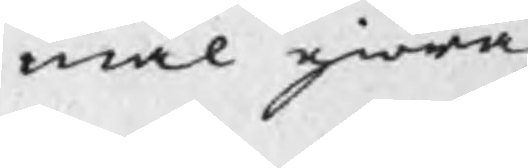mål giöra
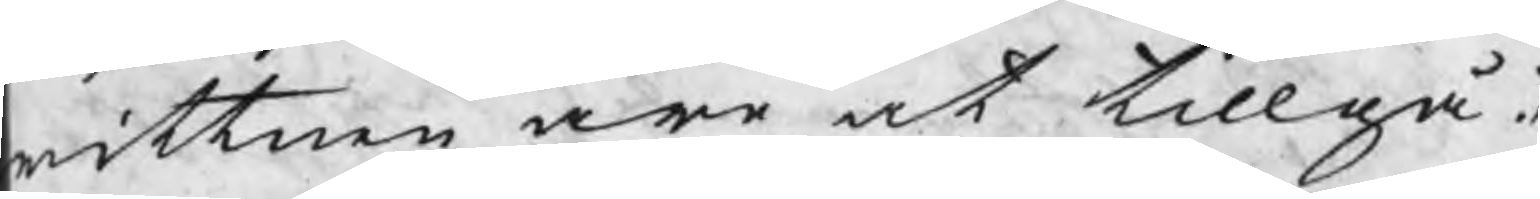wittnen äro at tillgå. /
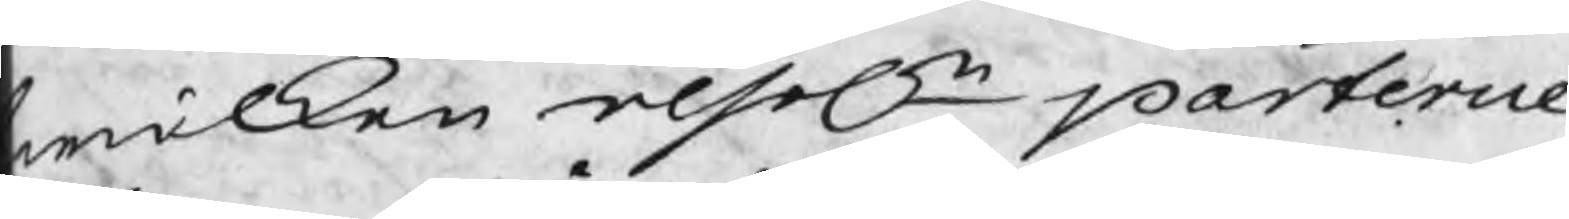wilken resoln parterne
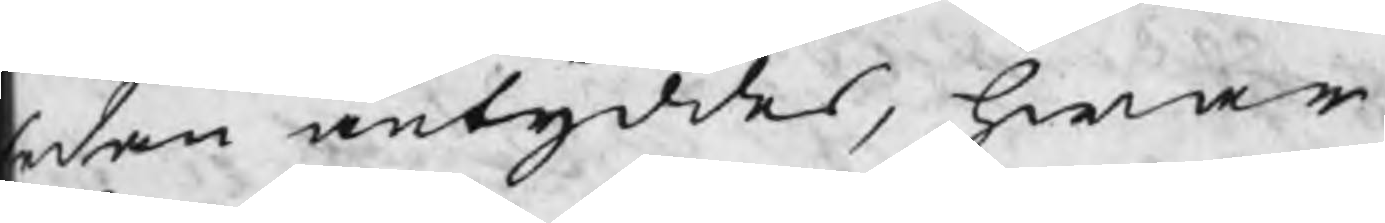edan antyddes, hwar 
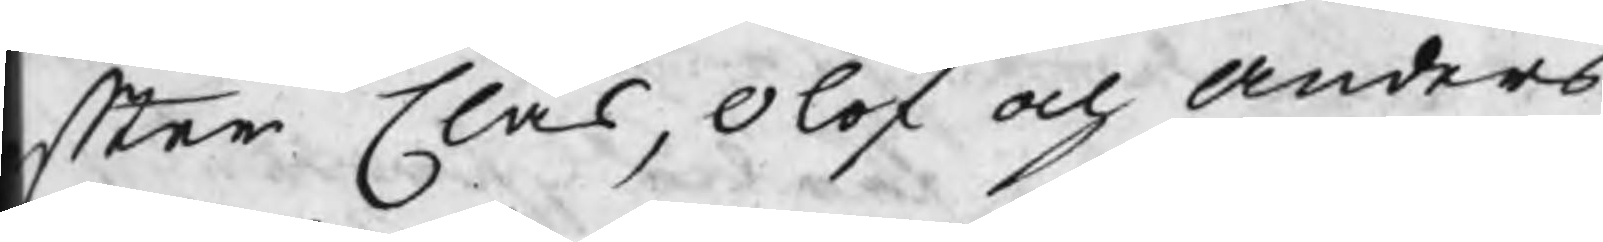fter Clas, Olof och Anders
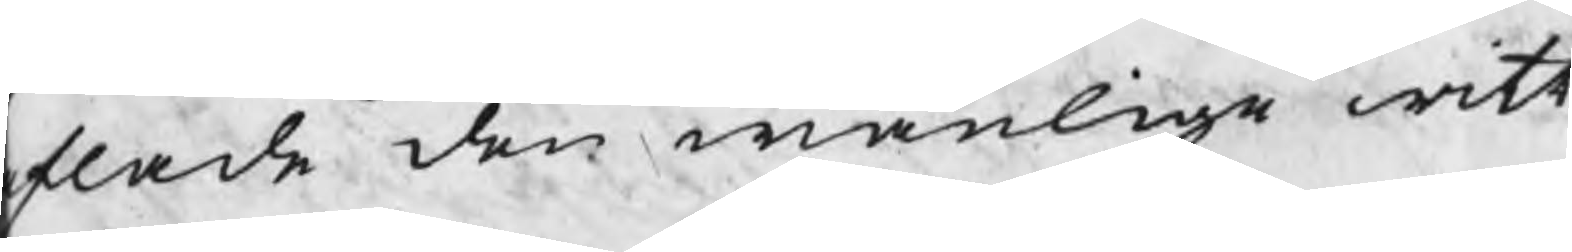flade den wanlige witt
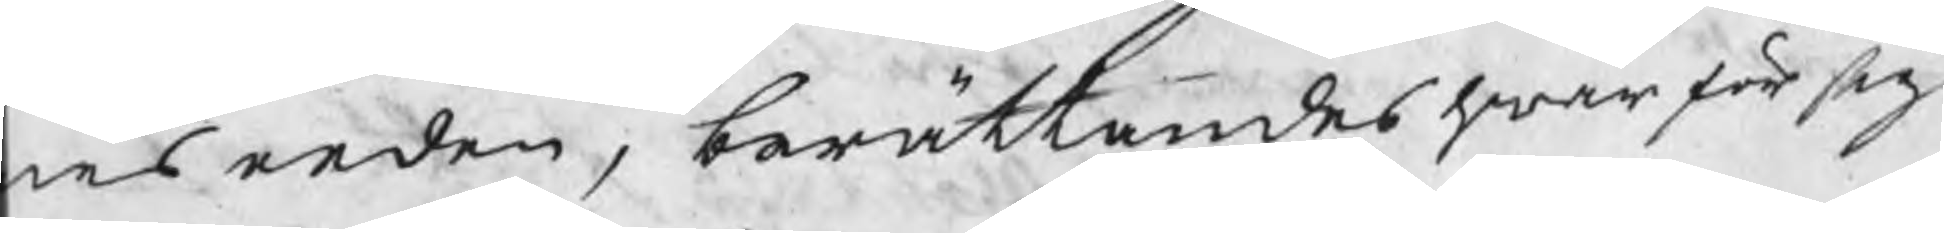nes eeden, berättandes hwar för sig
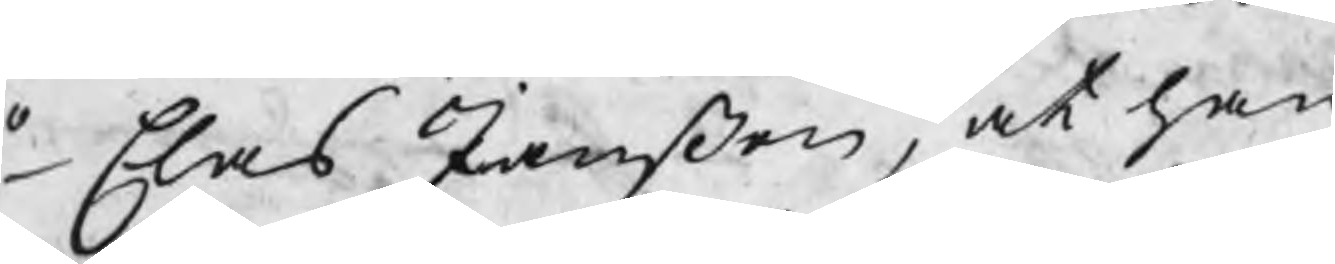1o Clas Janßon, at han
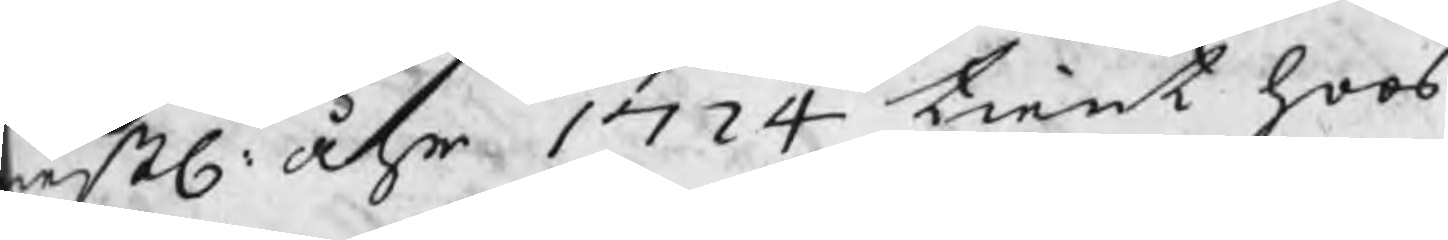estl: åhr 1724 tient hoos
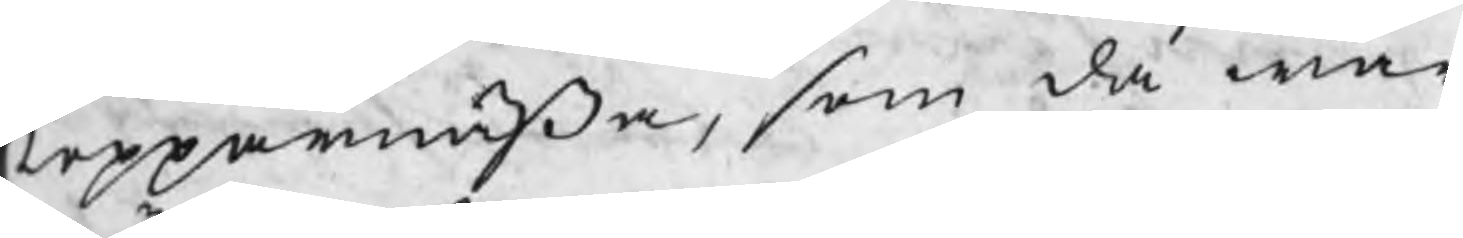Kopparnäsa, som då war
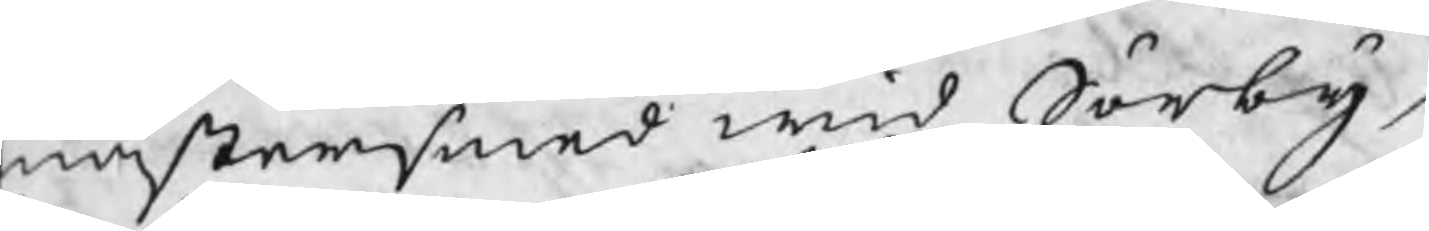mästersmed wid Sörby
